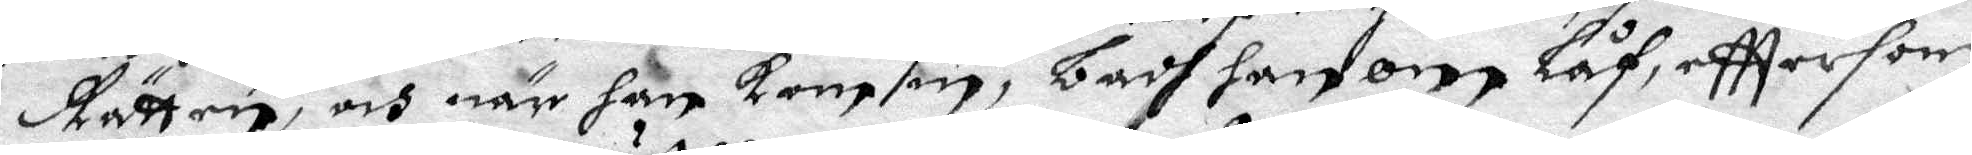Rätten, och när han kom in, badh han om Låf, efttersom
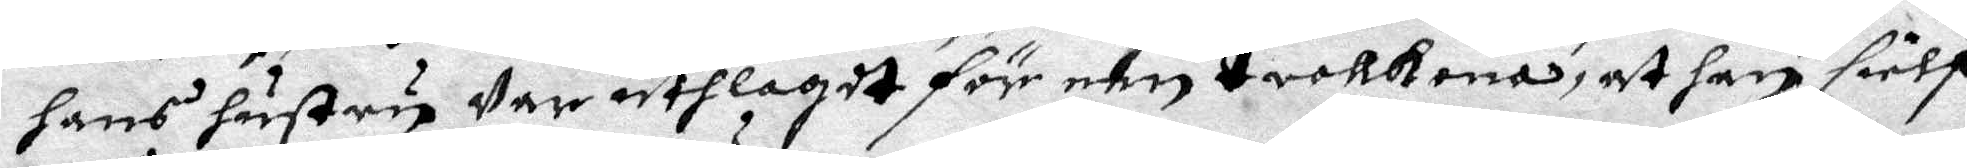hans hustru Var uthlagdt för een trollkona, at han sielf
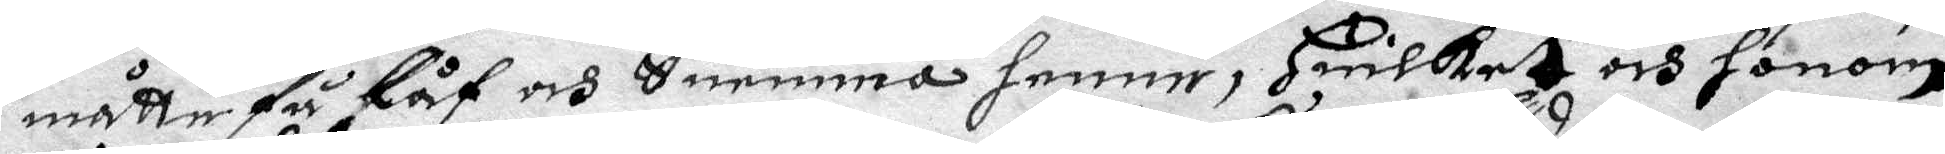måtte få Låf och Suemma henne, Huilket och honom
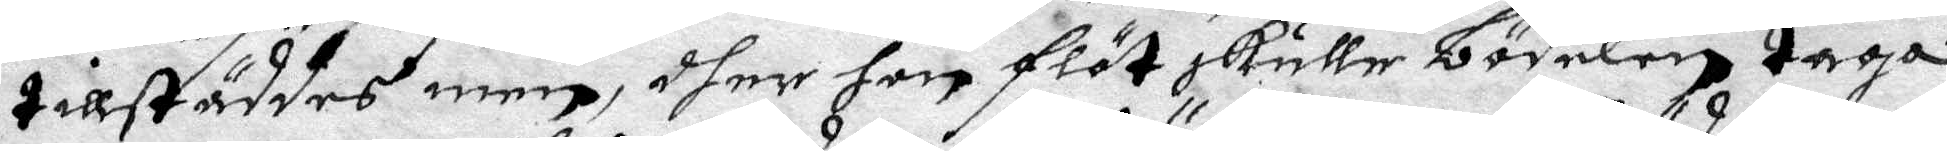tillstäddes men, dher hon flöt skulle bödelen taga
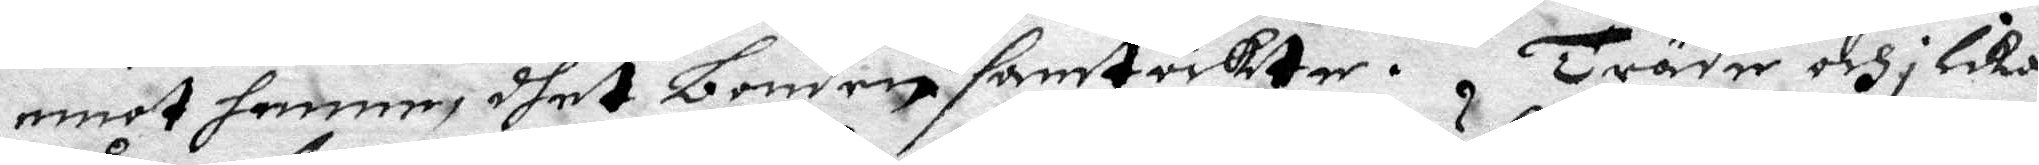emot henne, dhet bonden samtöckte. träde och i Lika
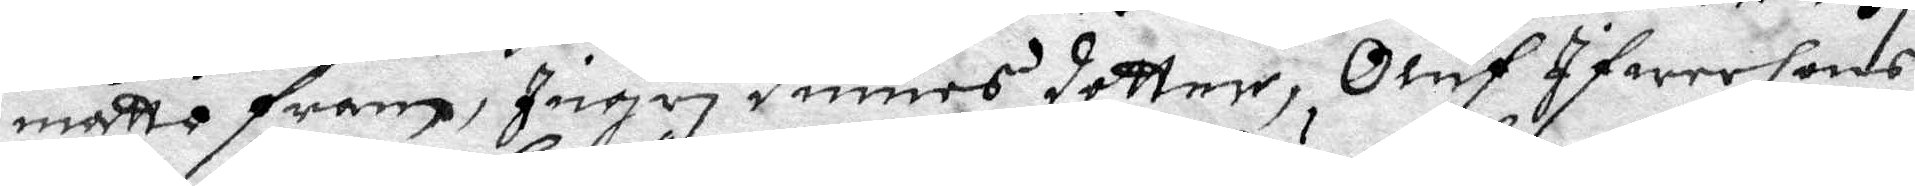måtto fram, Ingri Dimes dotter, Oluf Ifwersons
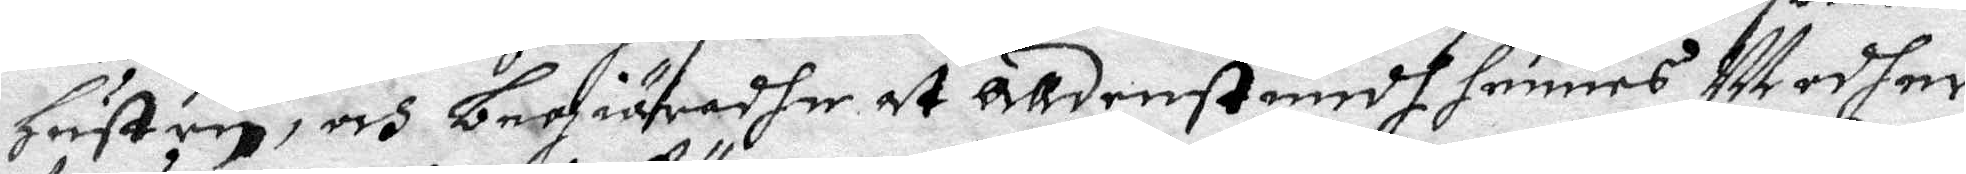Hustru, och begiärdhe at alldenstundh hennes Modher
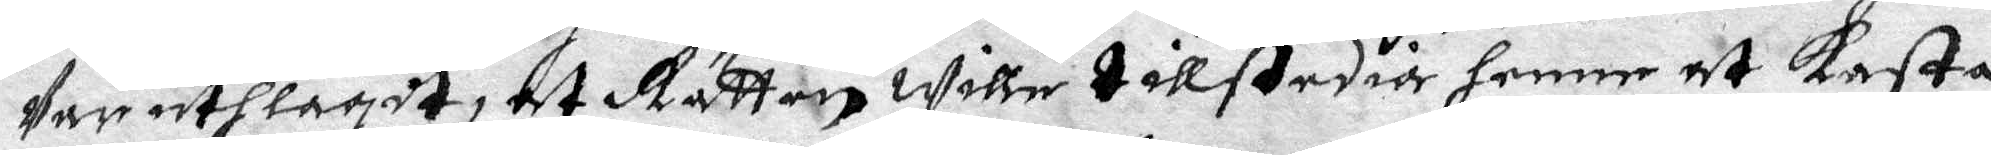Var uthlagdt, at Rätten wille tillstedia henne at kasta
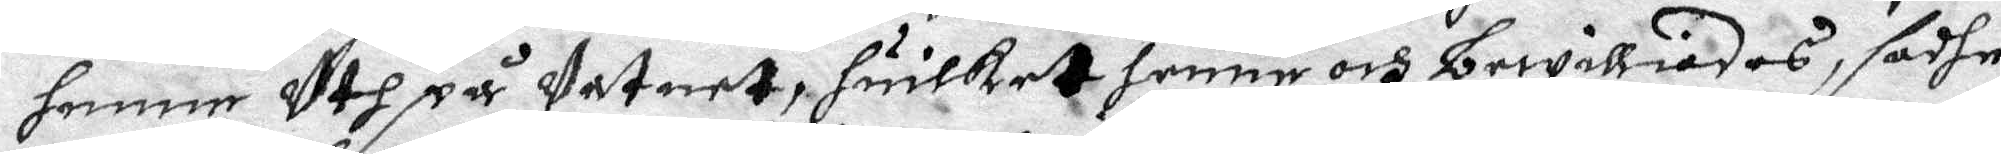henne Uth på Vatnet, huilket henne och bewilliades, sadhe
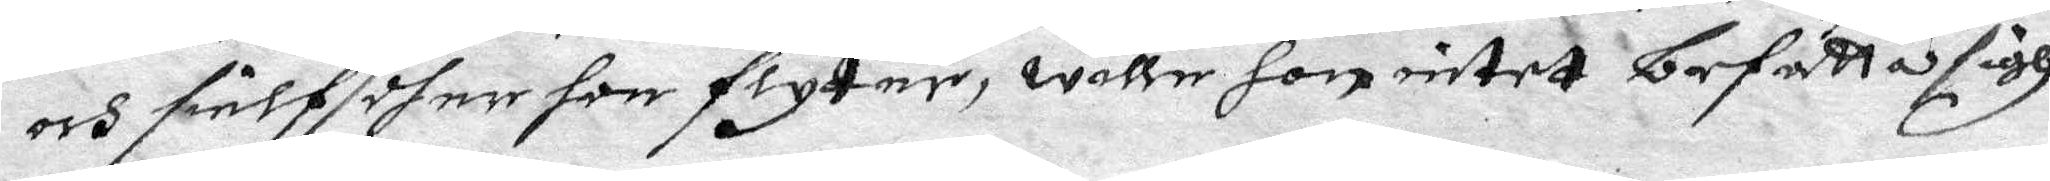och sielf dher hon flyter, wille hon intet befatta sigh
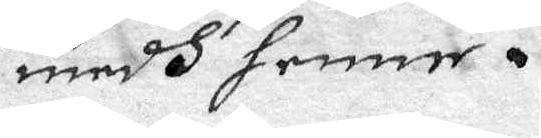medh henne.
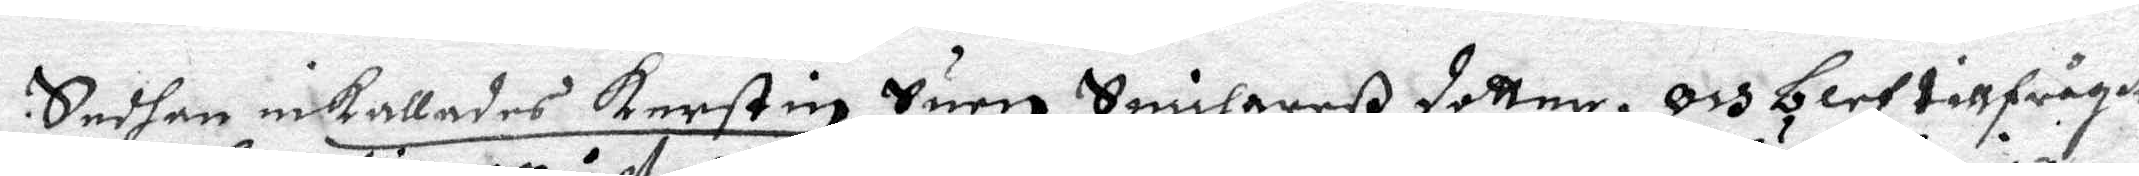Sedhan inkallades Kerstin Suen Snickarß dotter, och blef tillfrågat
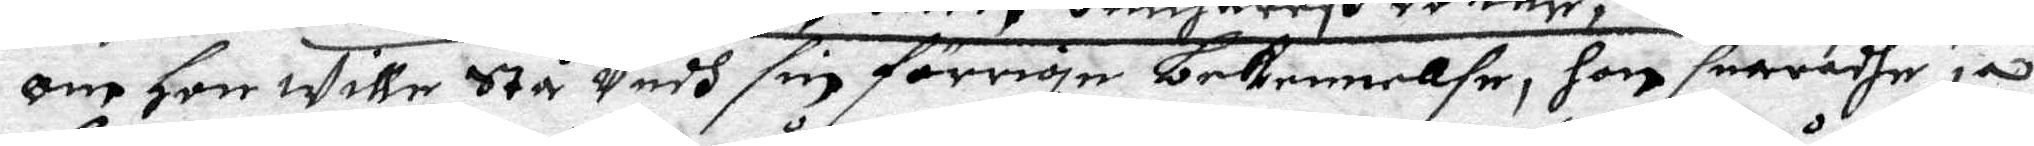om hon wille stå Vedh sin förrige bekennellse, hon suaradhe ja,
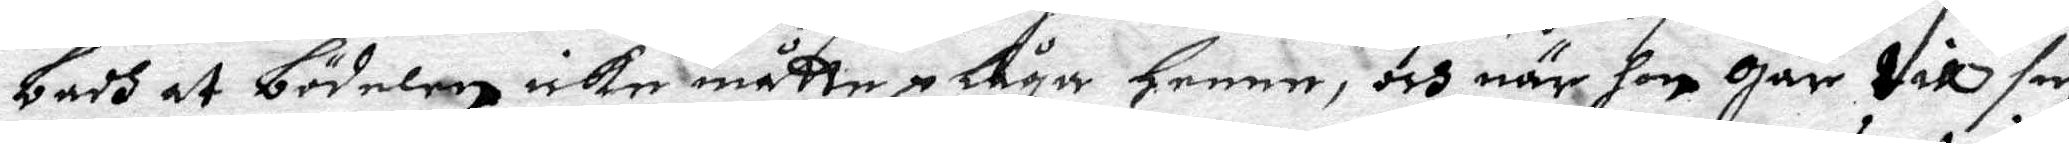badh at bödelen icke måtte plåga henne, och när hon Går till sin
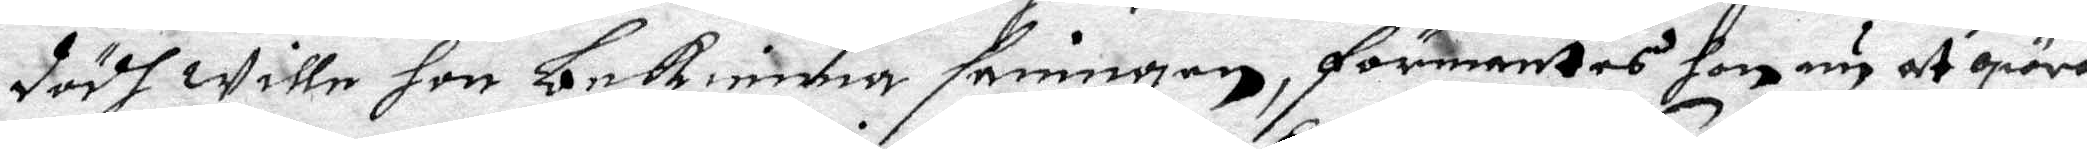dödh wille hon bekienna sanningen, förmantes hon nu at giöra
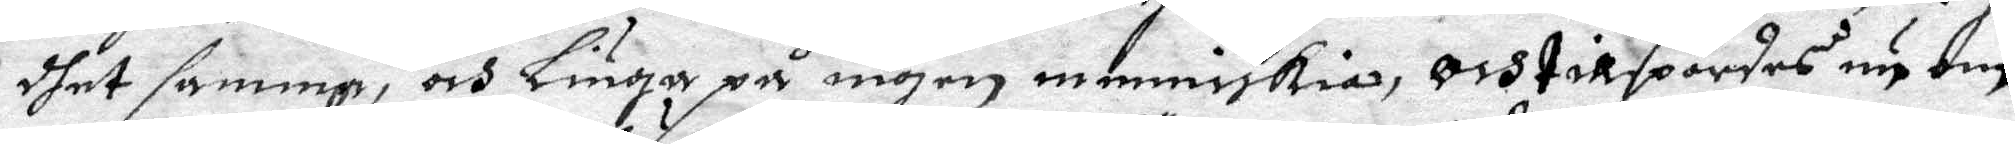dhet samma, och Liuga på ingen mednniskia, Och tillspordes nu om
